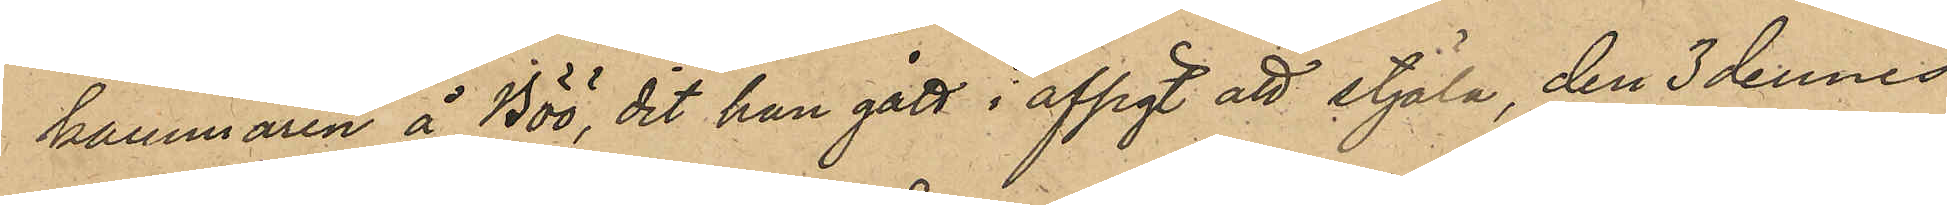kammaren å Böö, dit han gått i afsigt att stjäla, den 3 dennes
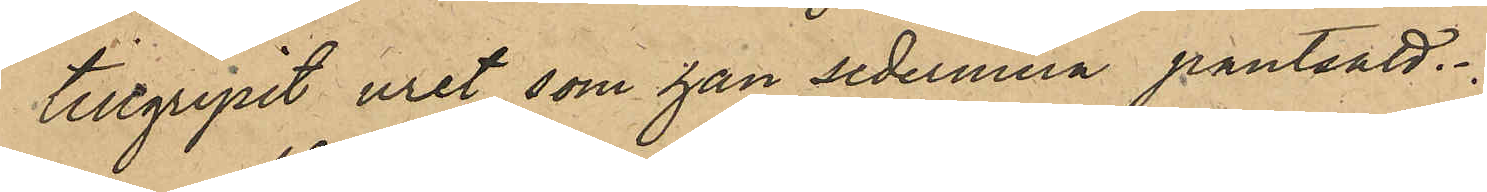tillgripit uret, som han sedermera pantsatt.
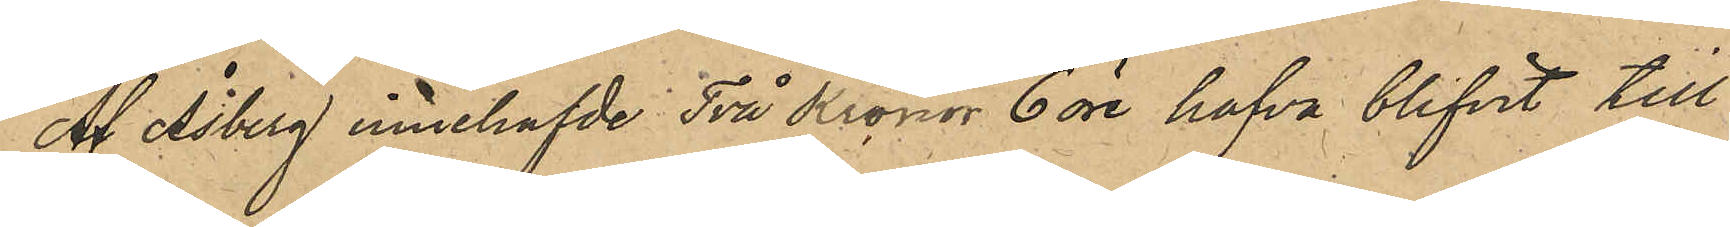Af Åsberg innehafde Två Kronor 6 öre hafva blivit till
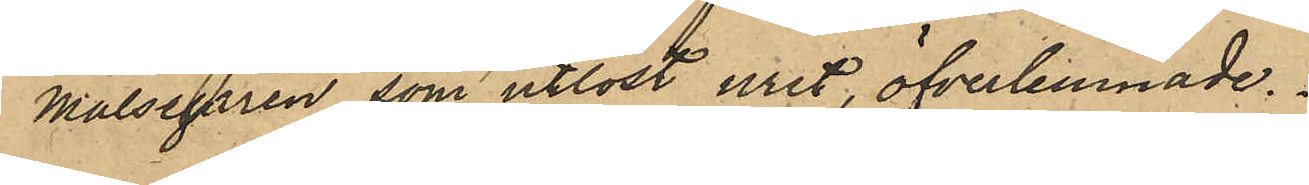Målsägaren, som utlöst uret, öfverlemnade.
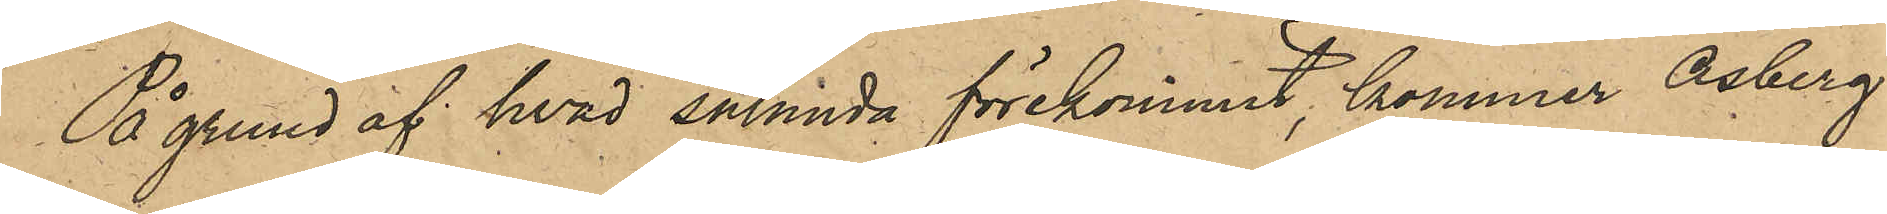På grund af hvad sålunda förekommit, kommer Åsberg
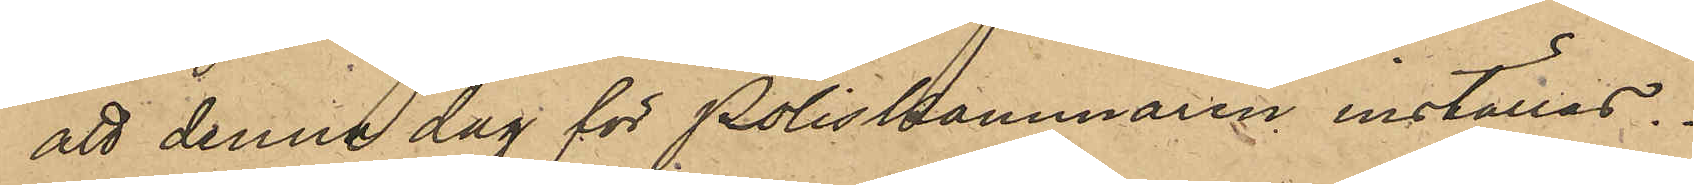att denna dag för Poliskammaren inställas.
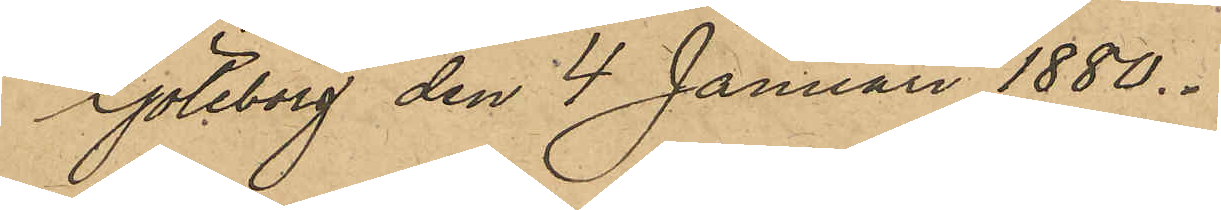Göteborg den 4 Januari 1880. 
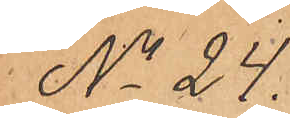No 24.
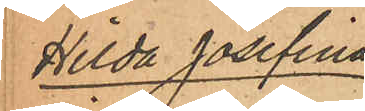Hilda Josefina
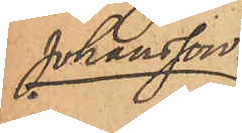Johansson.
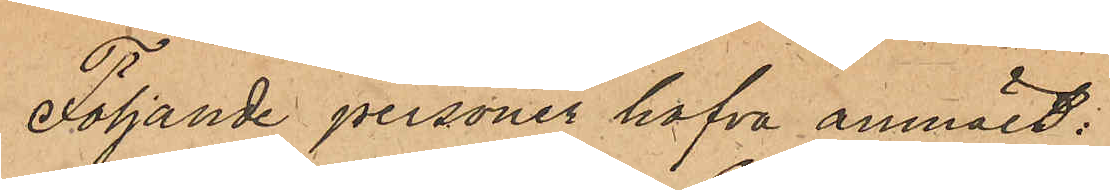Följande personer hafva anmält:
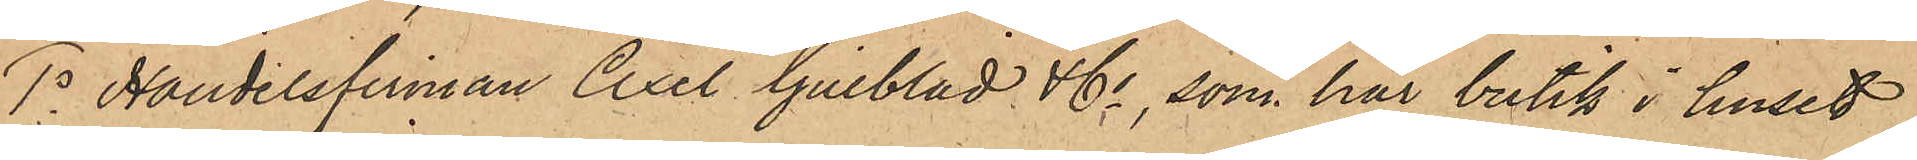1o Handelsfirman Axel Gillblad & Co, som har butik i huset
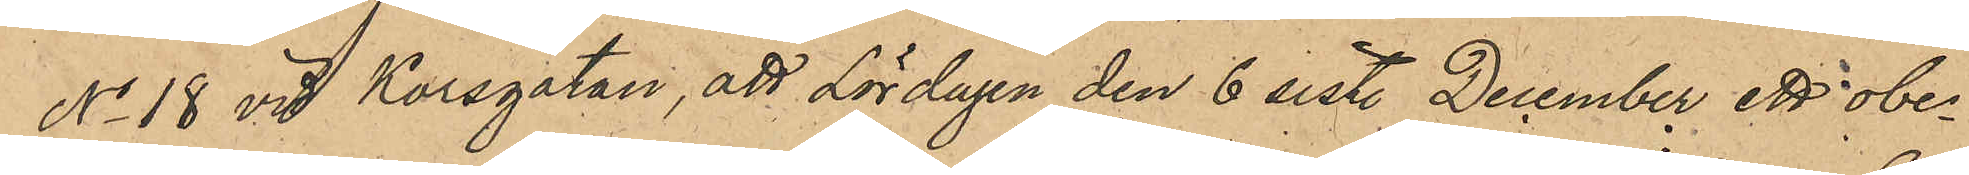No 18 vid Korsgatan, att Lördagen den 6 sistl December ett obe¬
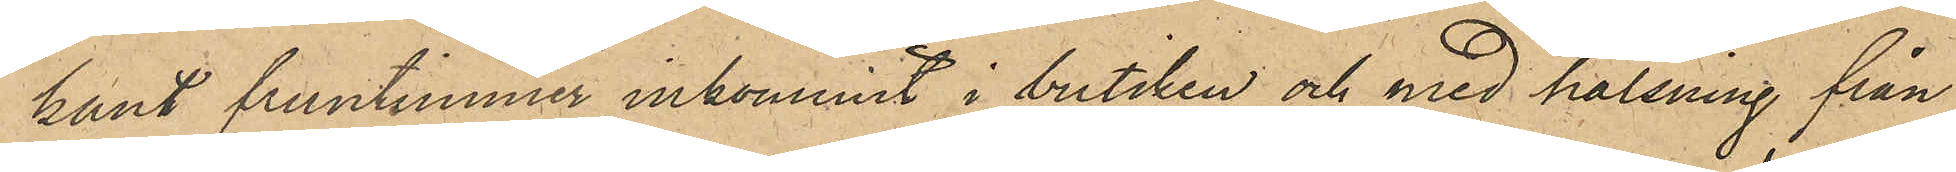kant fruntimmen inkommit i butiken och med hälsning från
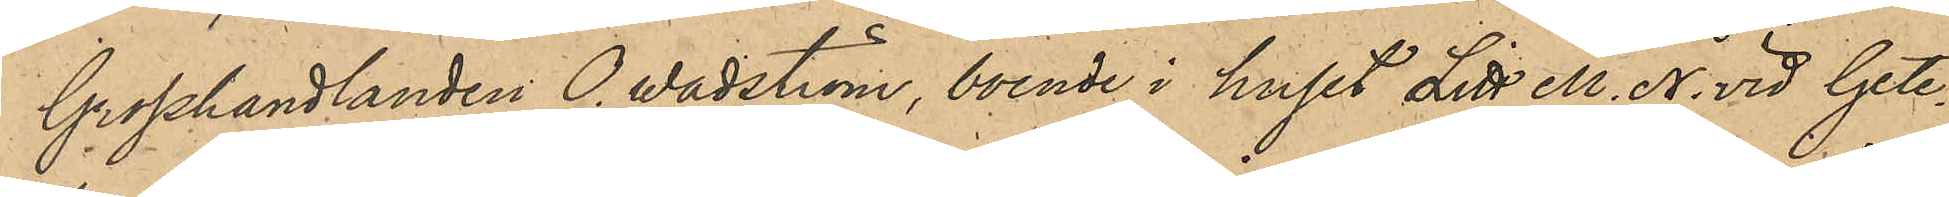Grosshandlaren O. Wadström, boende i huset Litt. M. N. vid Gete¬
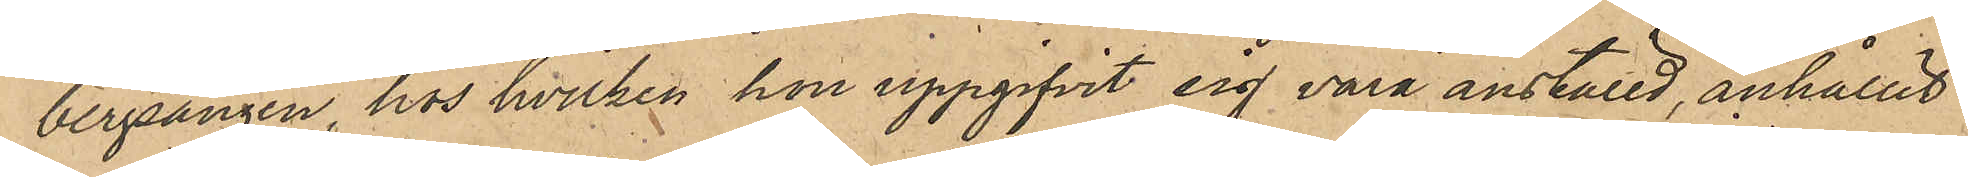bergsängen, hos hvilken hon uppgifvit sig vara anställd, anhållit
